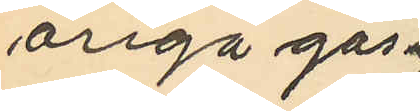åriga goss¬
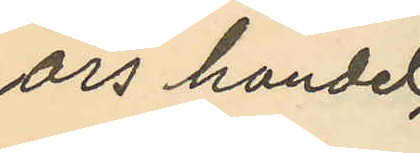ars handel
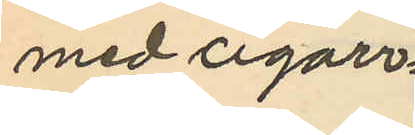med cigarr¬
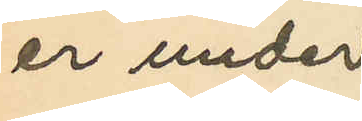er under
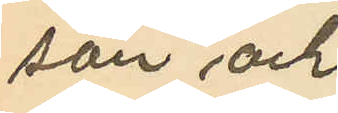sön och
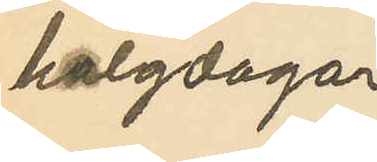helgdagar
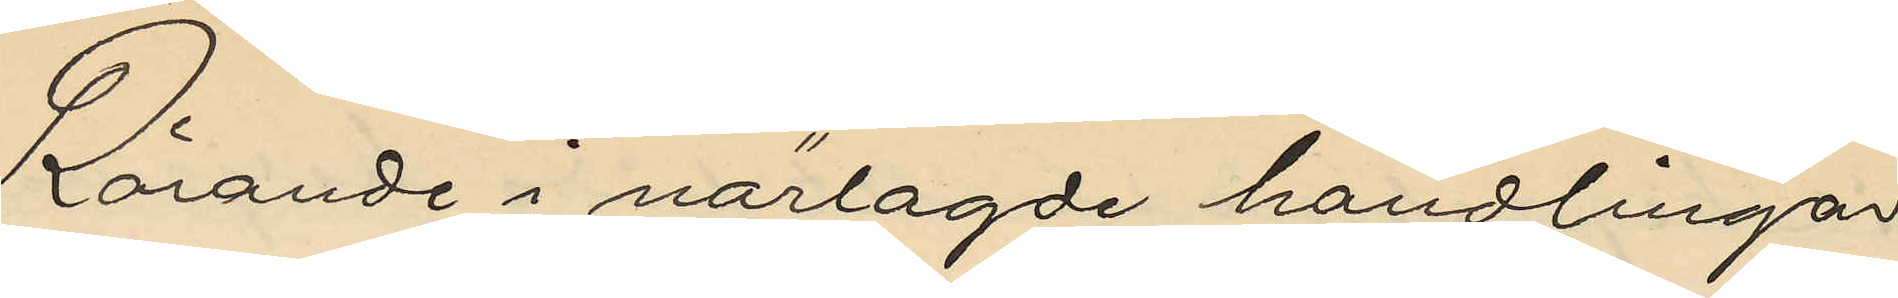Rörande i närlagde handlingar
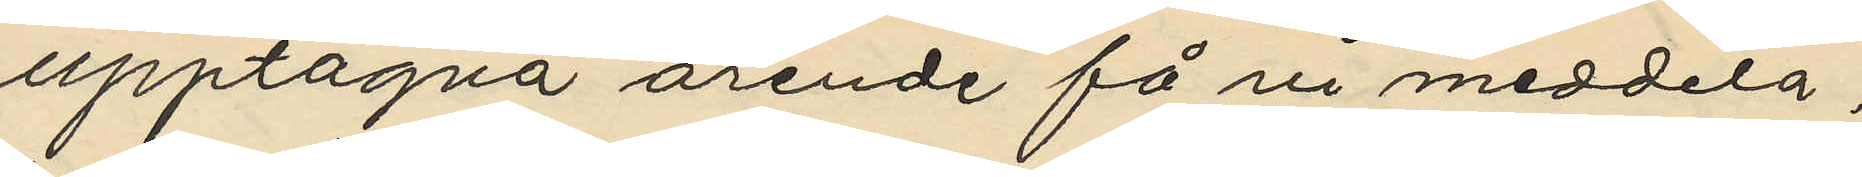upptagna ärende få vi meddela,
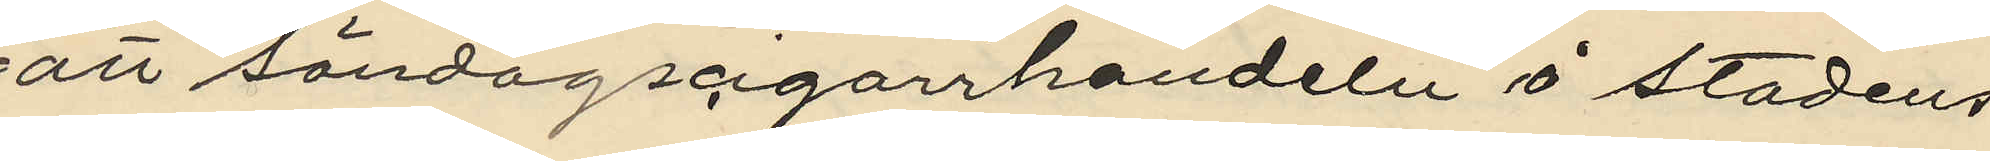att söndagscigarrhandeln å stadens
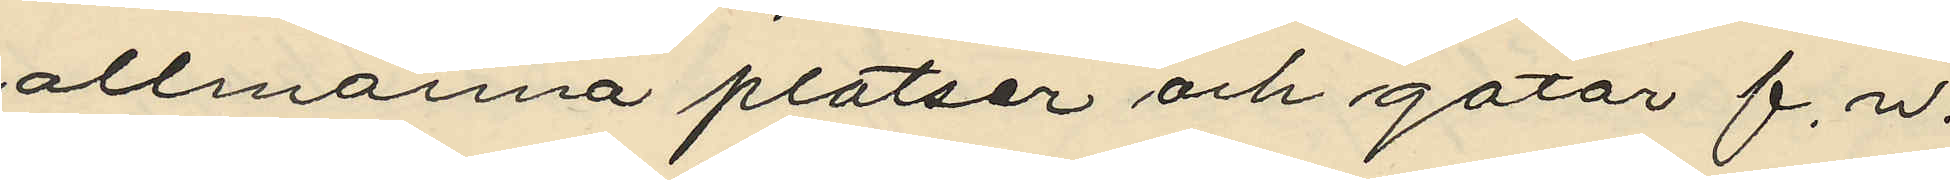allmänna platser och gator f. n.
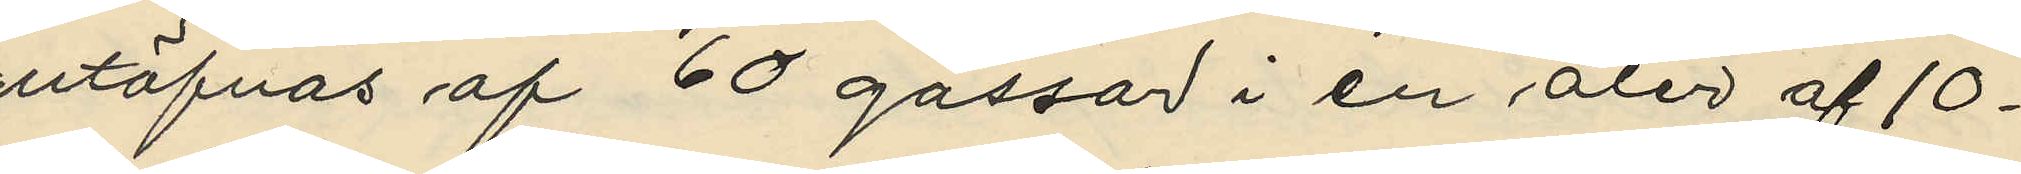utöfvas af 60 gossar i en åler af 10-
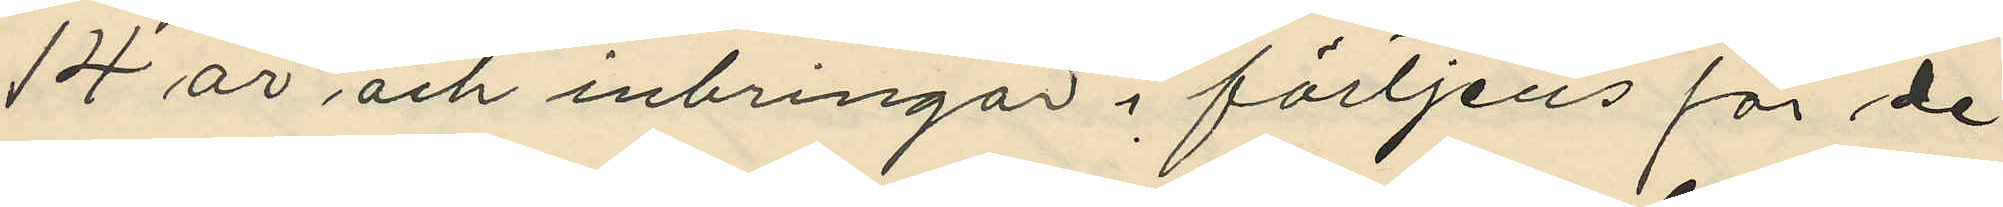14 år och inbringar i förtjens för de
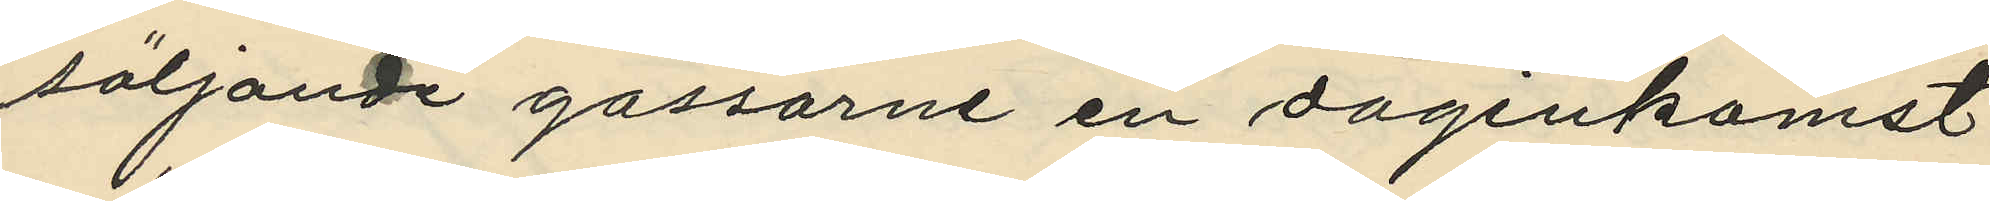säljande gossarne en daginkomst
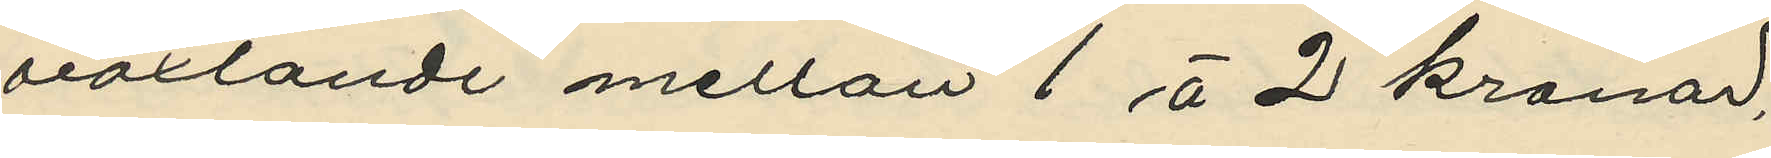växlande mellan 1 à 2 kronor,
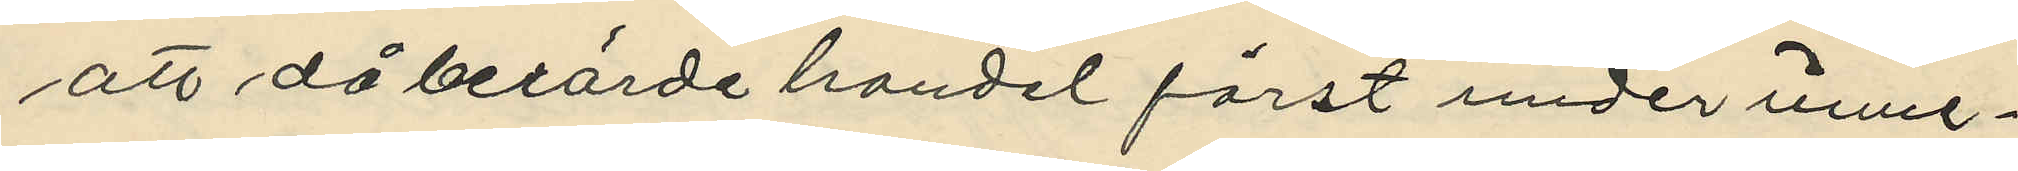att då berörde handel först under inme¬
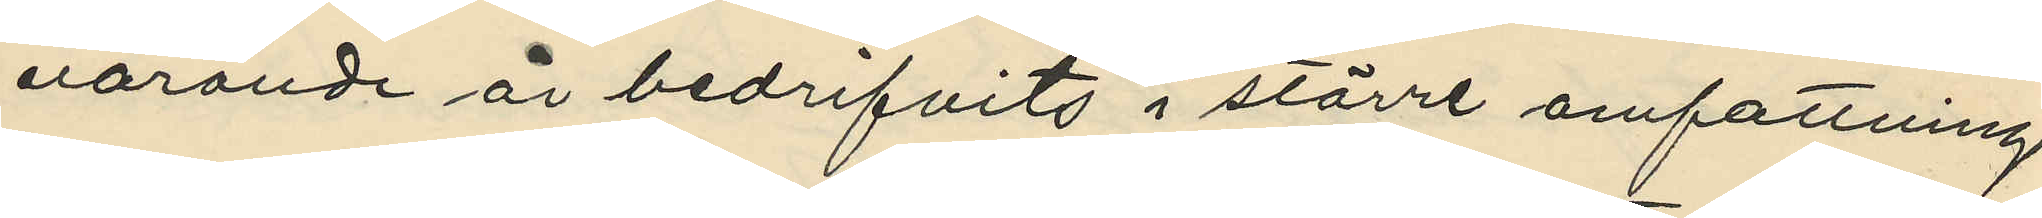varande år bedrifvits i större omfattning
